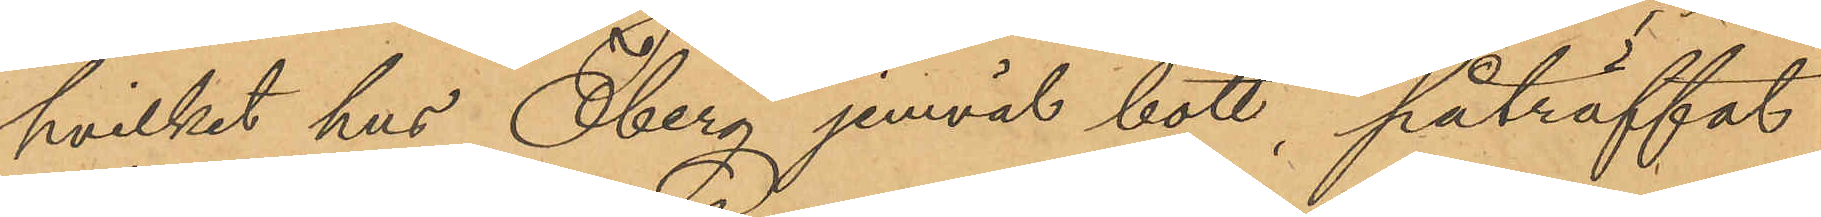hvilket hus Öberg jemväl bott, påträffat
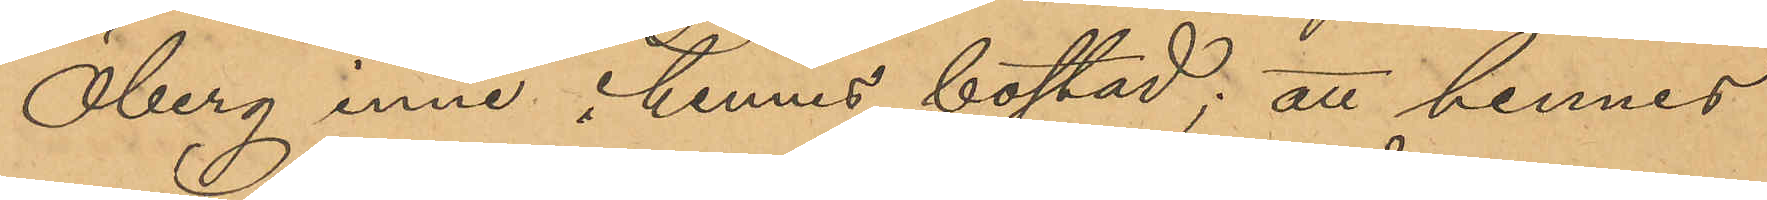Öberg inne i hennes bostad; att hennes
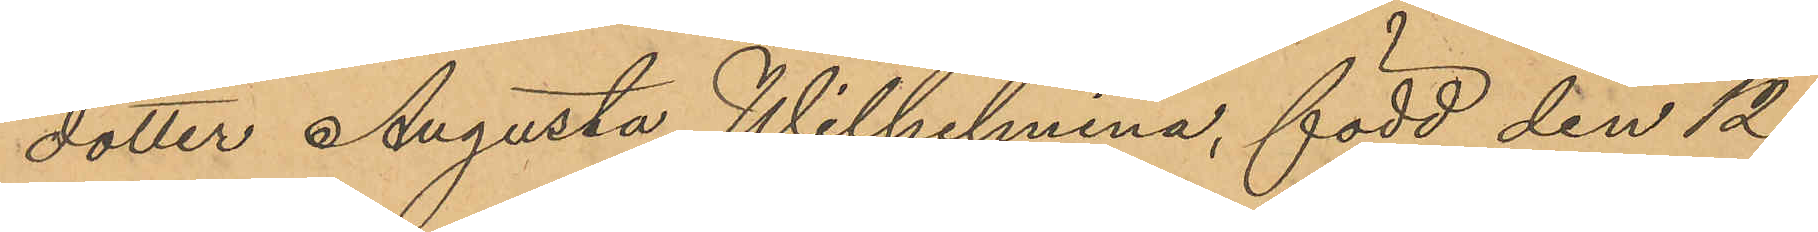dotter Augusta Wilhelmina, född den 12
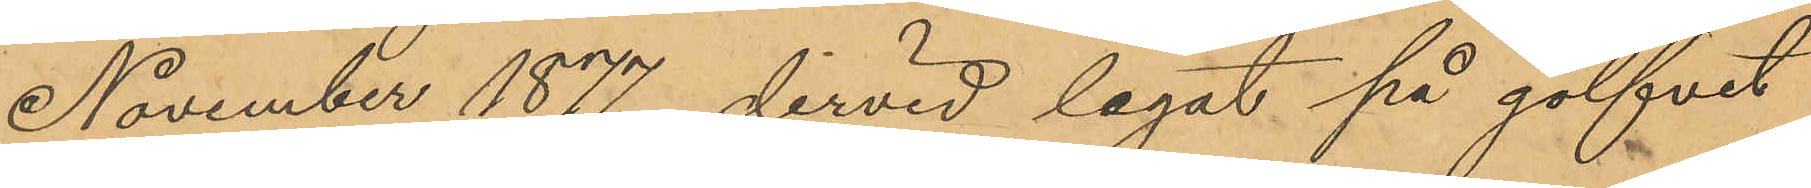November 1877, dervid legat på golfvet
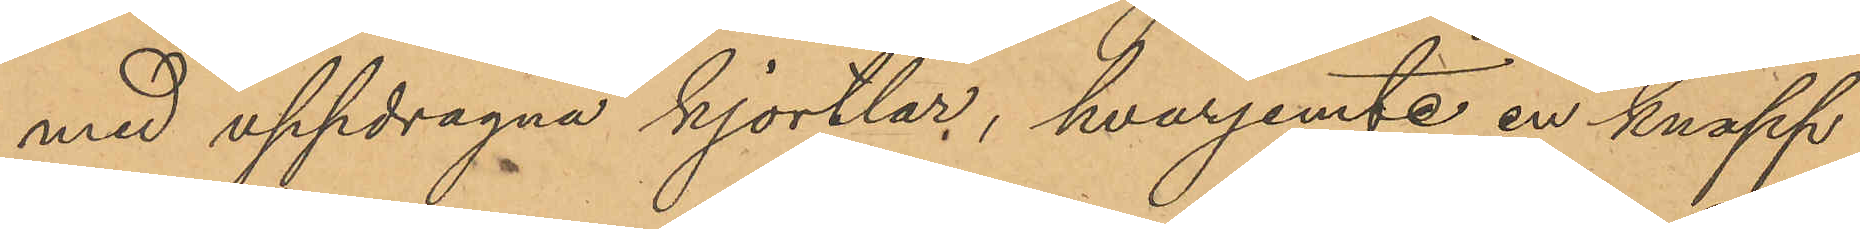med uppdragna kjortlar, hvarjemte en knapp
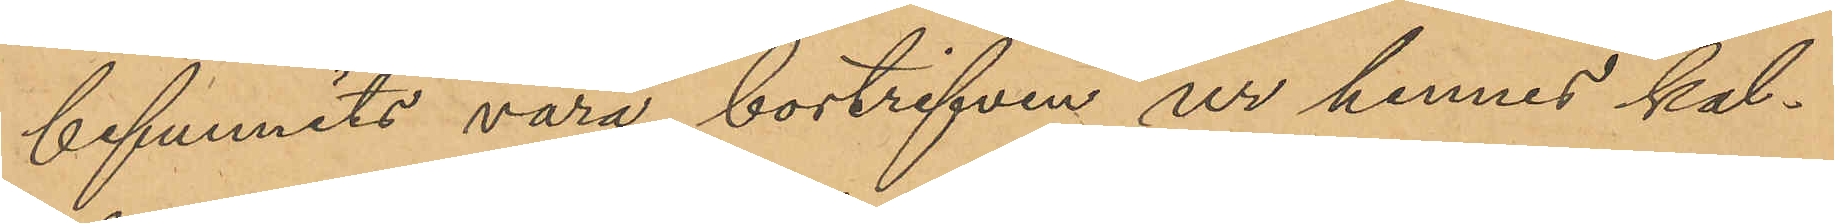befunnits vara bortrifven ur hennes kal¬
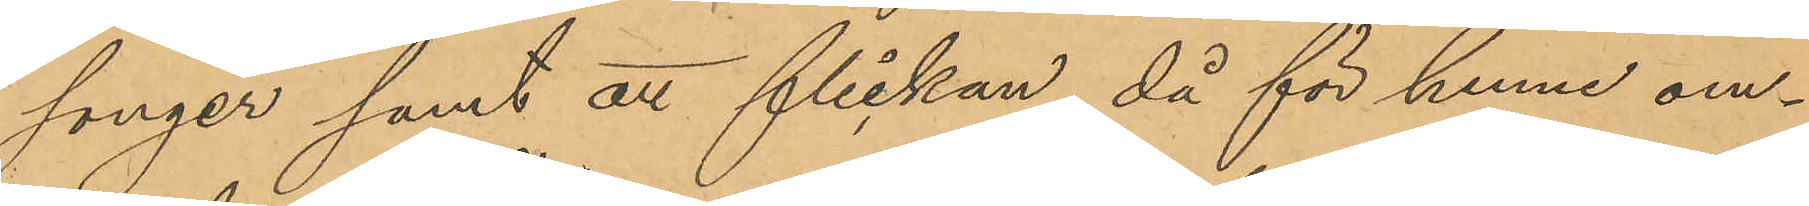songer samt att flickan, då för henne om¬
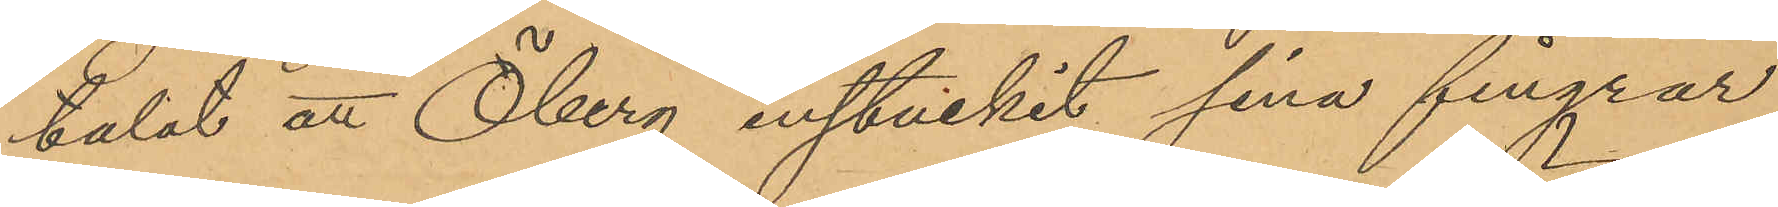talat att Öberg instuckit sina fingrar
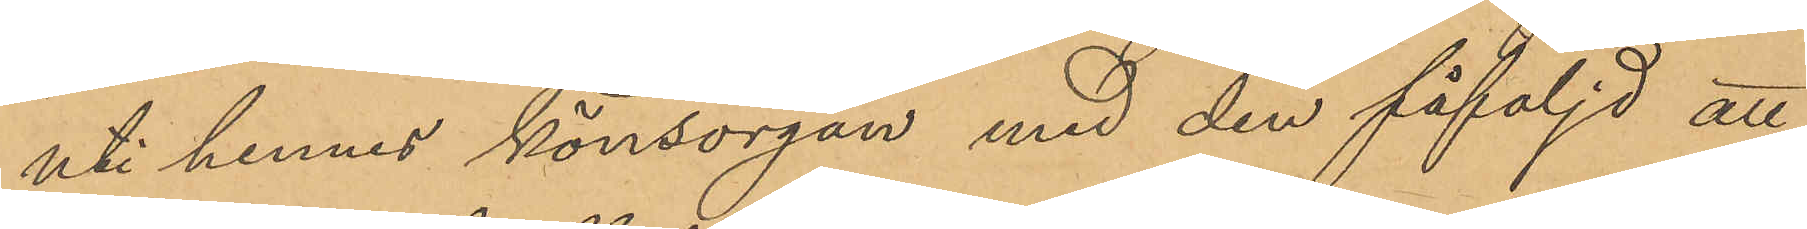uti hennes könsorgan med den påföljd att
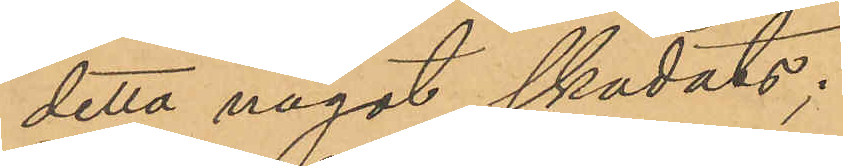detta något skadats;
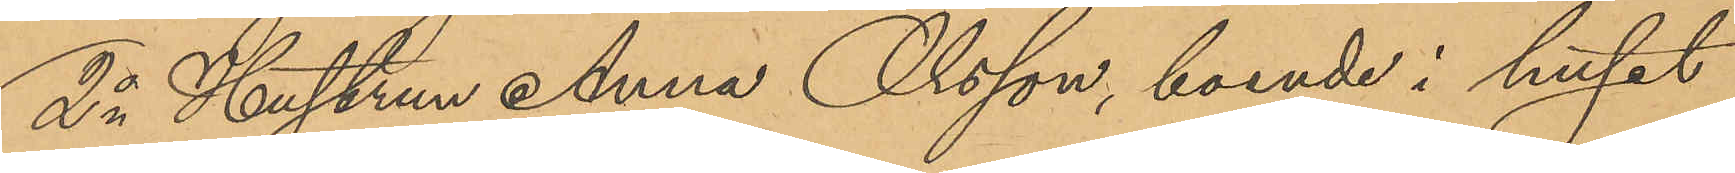2o Hustrun Anna Olsson, boende i huset
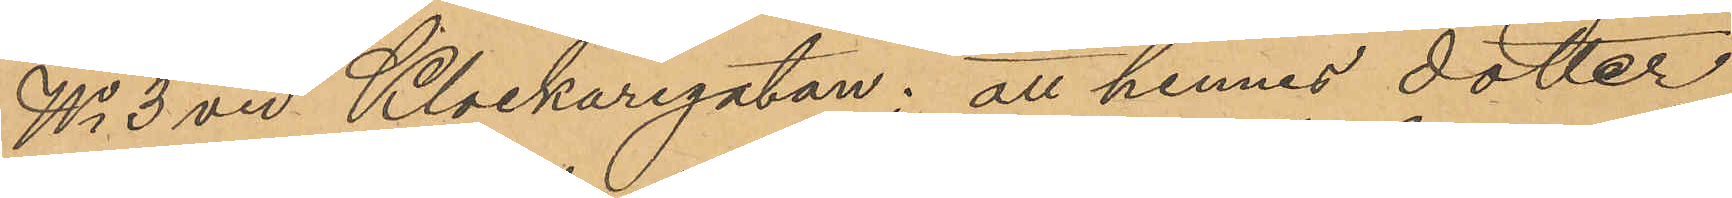No 3 vid Klockaregatan; att hennes dotter
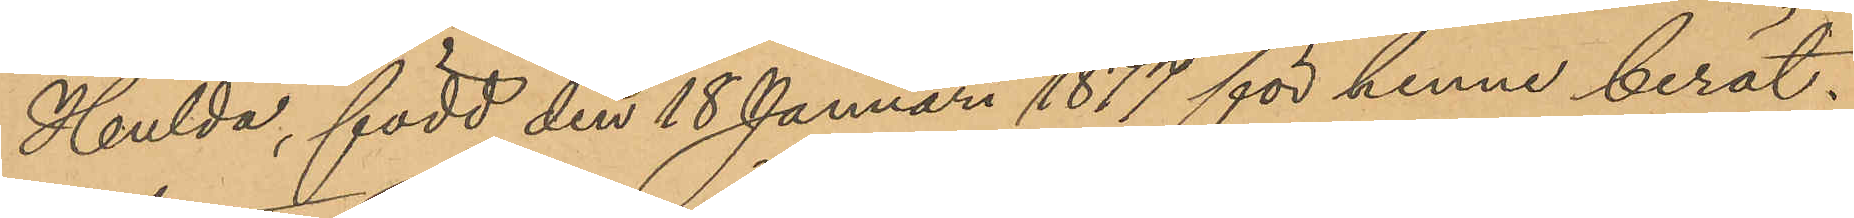Hulda, född den 18 Januari 1877 för henne berät¬
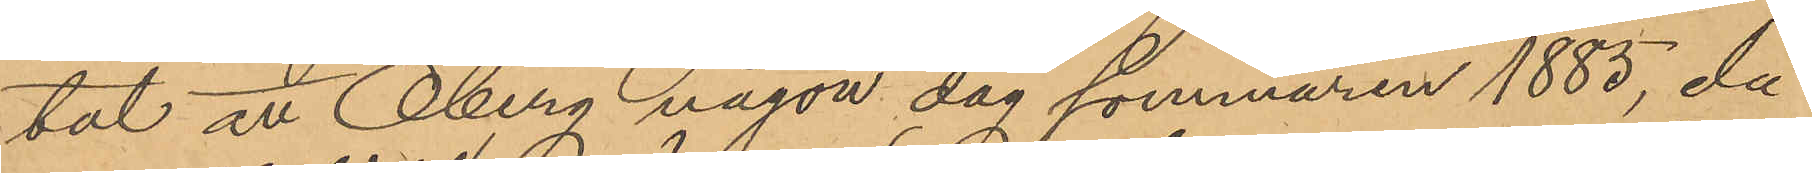tat att Öberg någon dag sommaren 1885, då
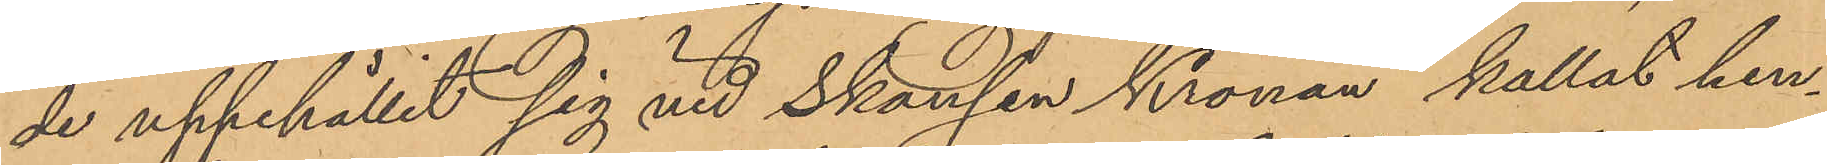de uppehållit sig vid Skansen Kronan kallat hen¬
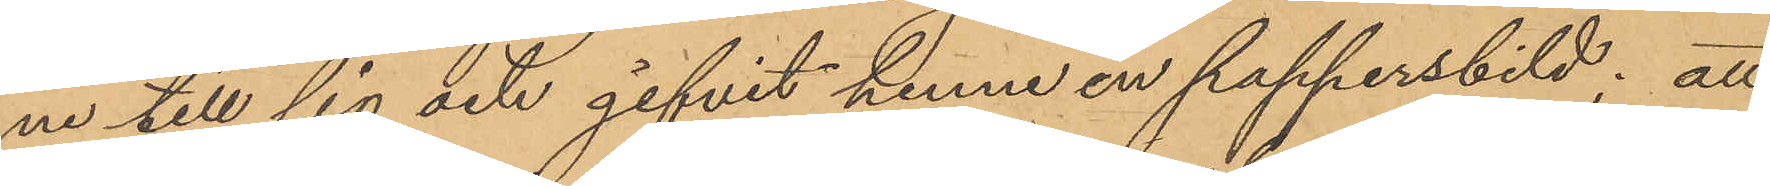ne till sig och gifvit henne en pappersbild; att
